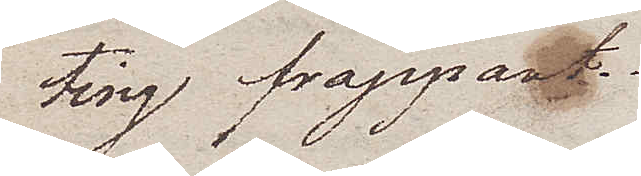ting frappant.
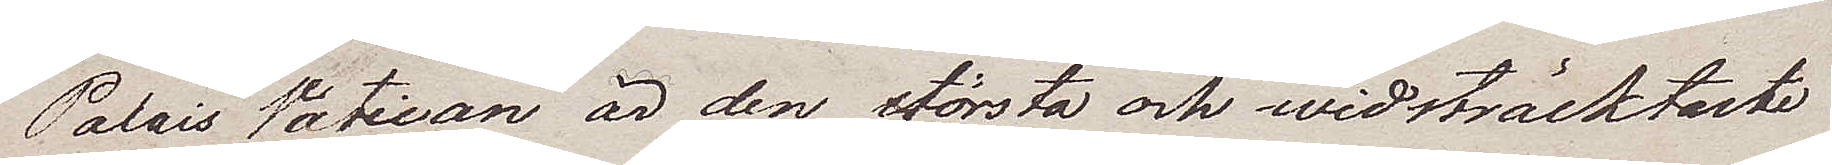Palais Vatican är den största och widsträcktaste
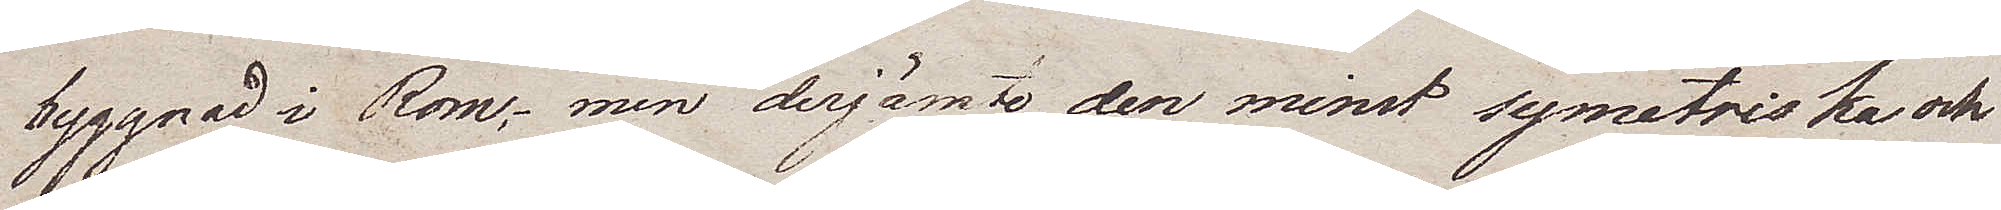byggnad i Rom; men derjämte den minst symetriska och
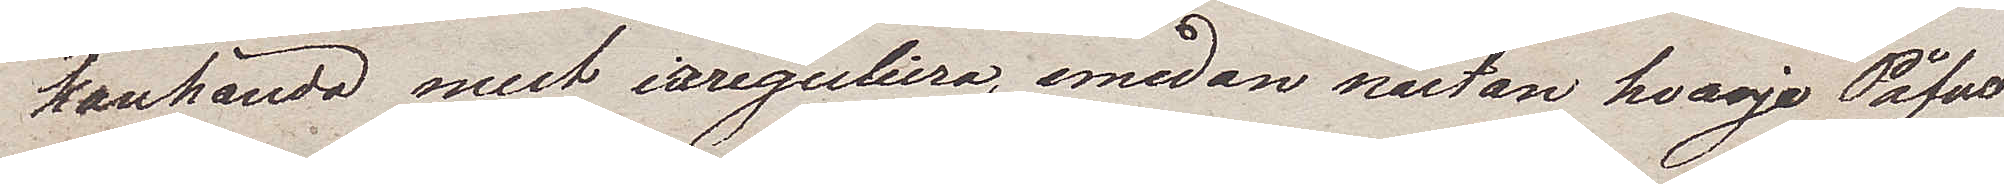kanhända mest iareguliera, emedan nästan hvarje Påfve
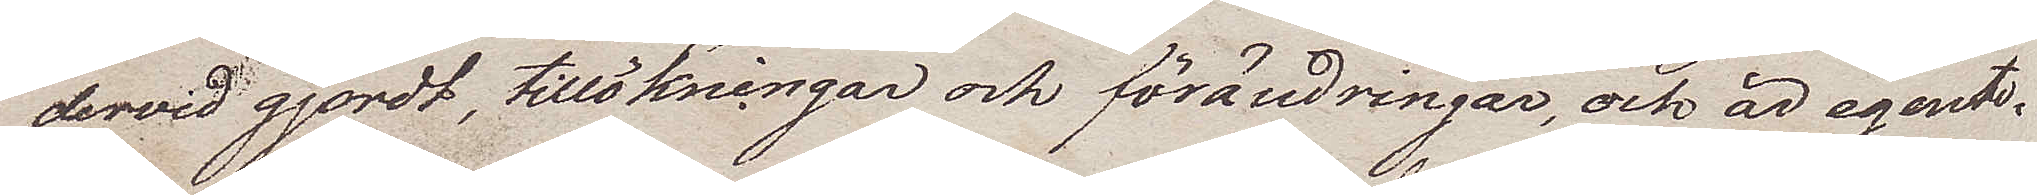dervid gjordt, tillökningar och förändringar, och är egent¬
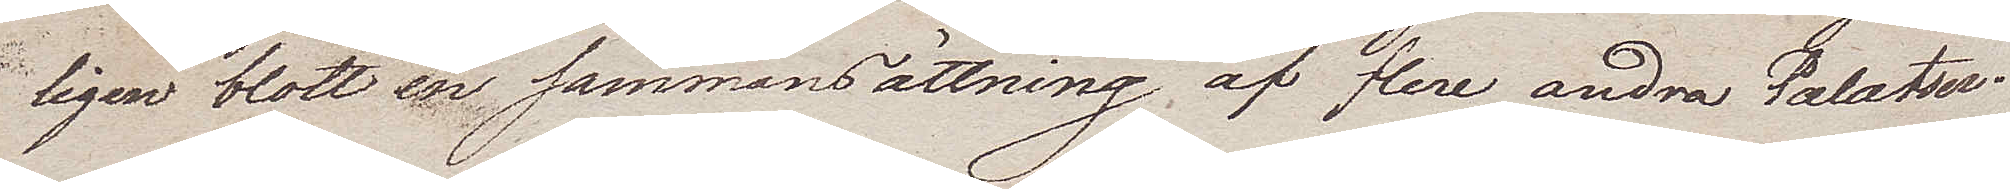ligen blott en sammansättning, af flere andra Palatser.
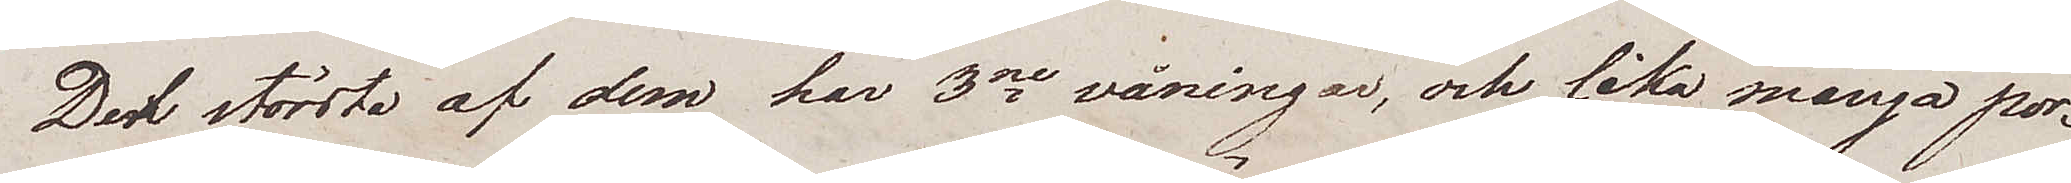Det största af dem har 3ne våningar, och lika många por¬
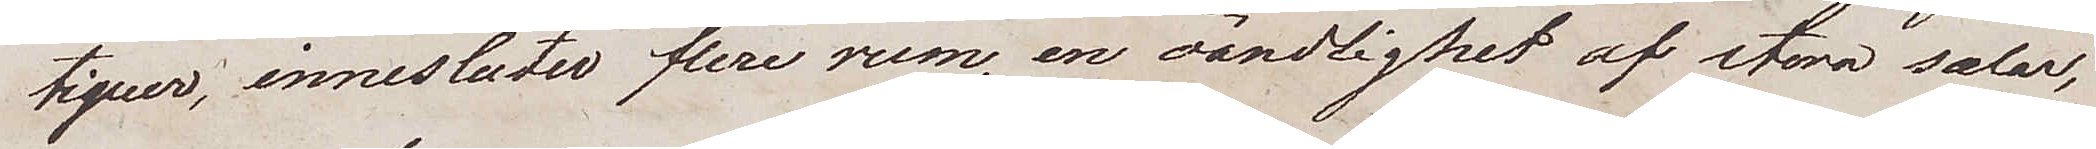tiquer, innesluter flere rum, en oändlighet af stora salar
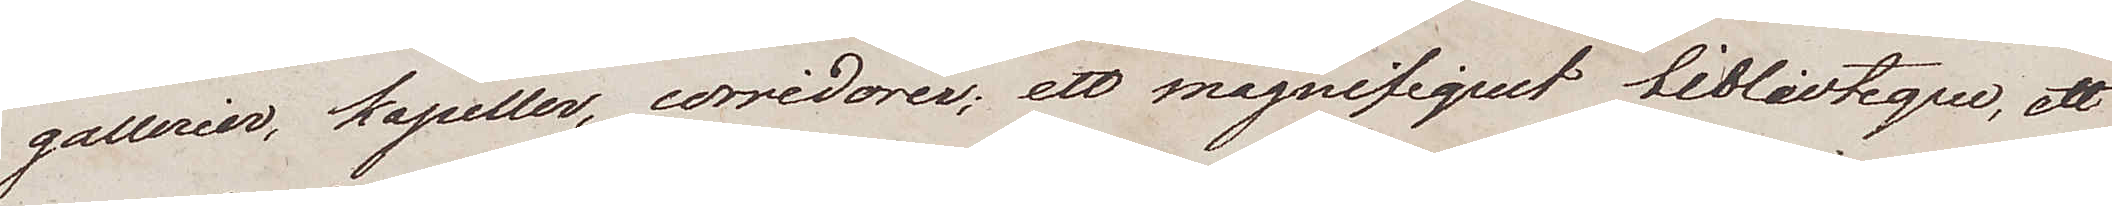gallerier, kapeller, corridorer; ett magnifiquet bibliuteque, ett
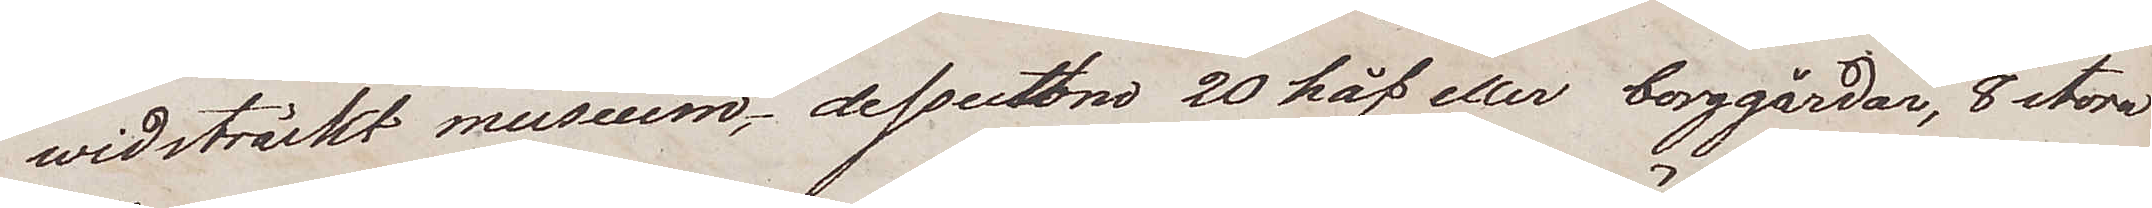widsträckt museum, dessutom 20 håf eller borggårdar, 8 stora
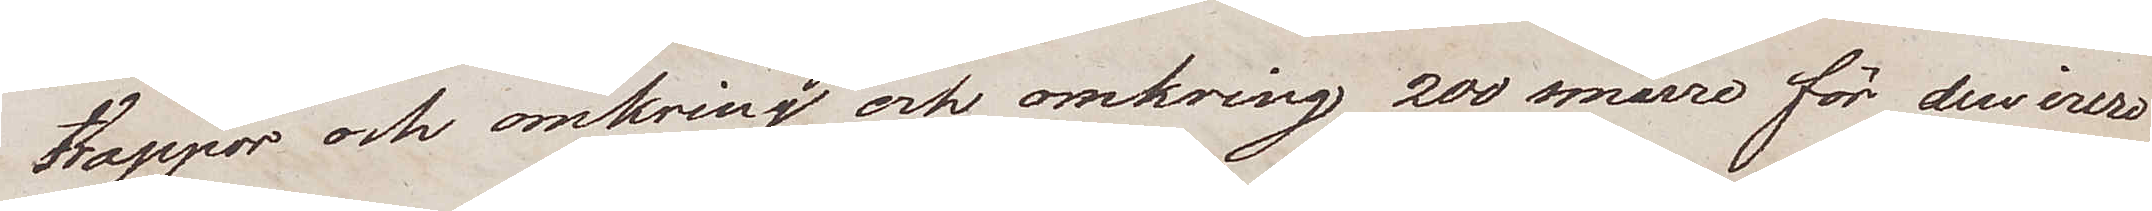trappor och omkring och omkring 200 smärre för den inre
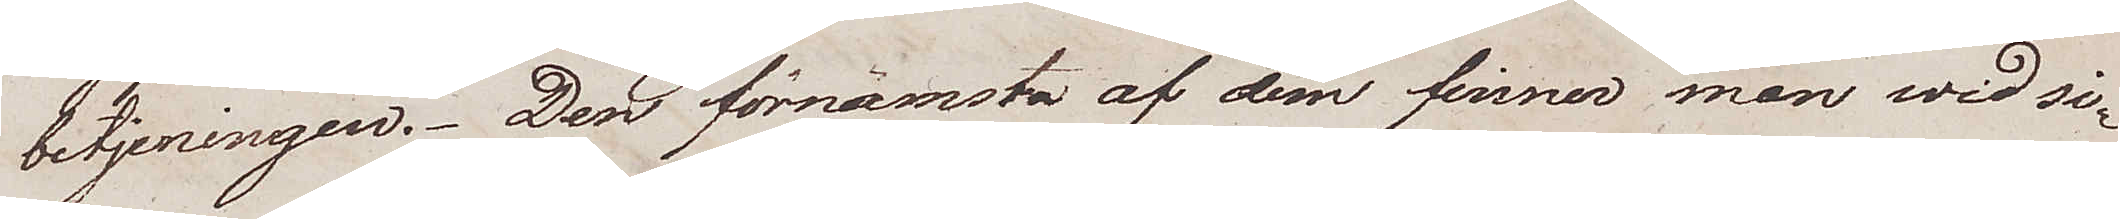betjeningen. Den förnämsta af dem finner man wid si¬
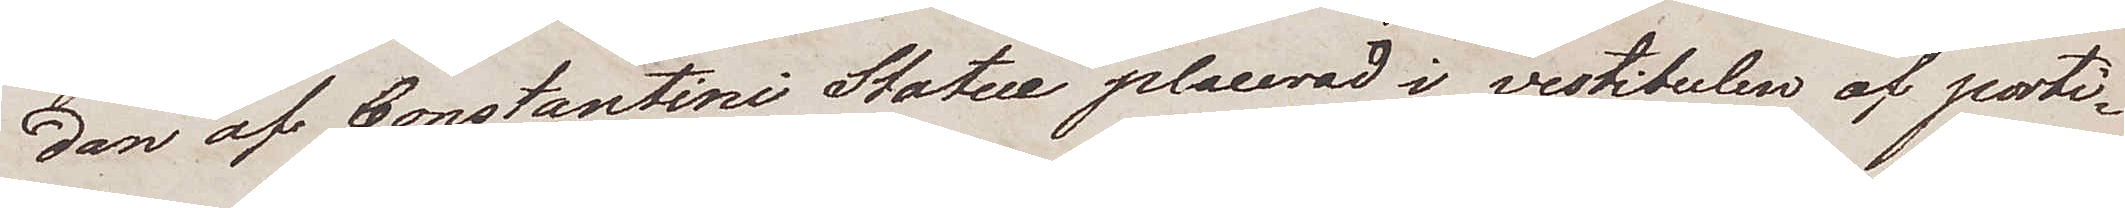dan af Constantini Statue placerad i vestibulen af porti¬
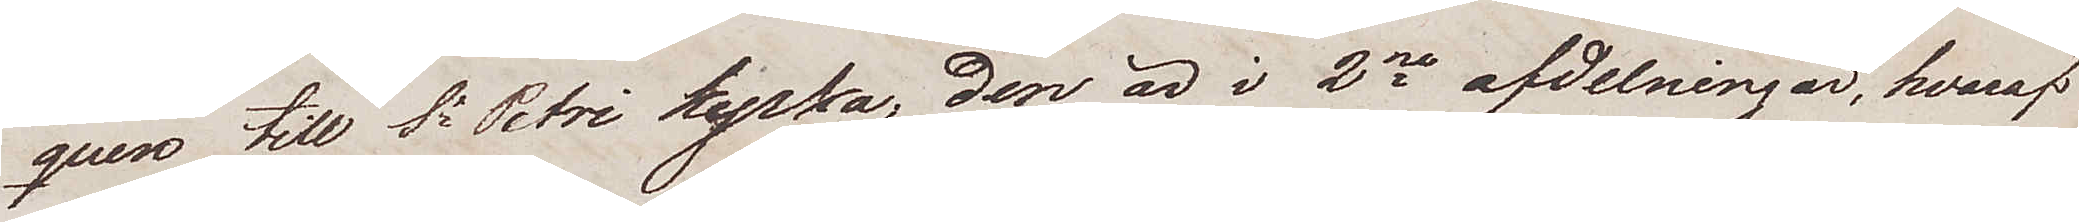quen till St Petri kyrka, den är i 2ne afdelningar, hvaraf
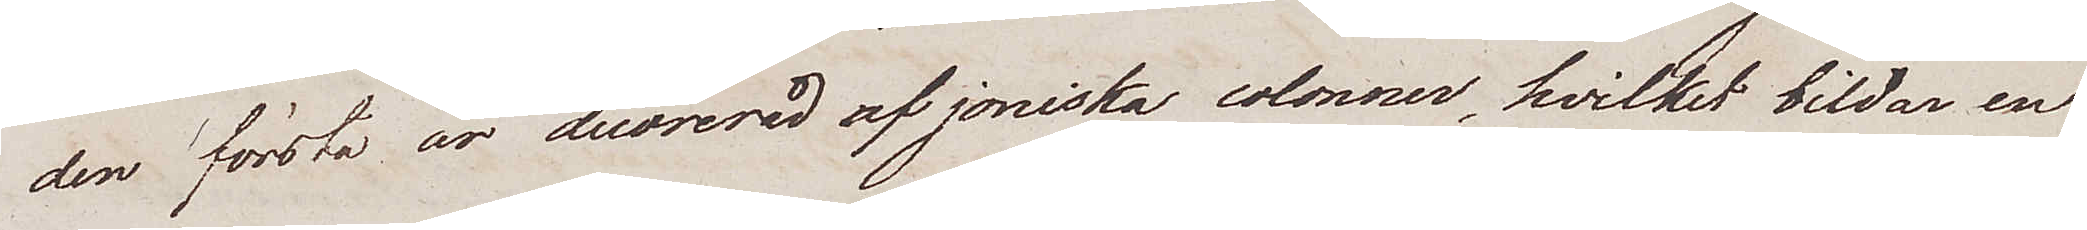den första är decorerad af joniska colonner, hvilket bildar en
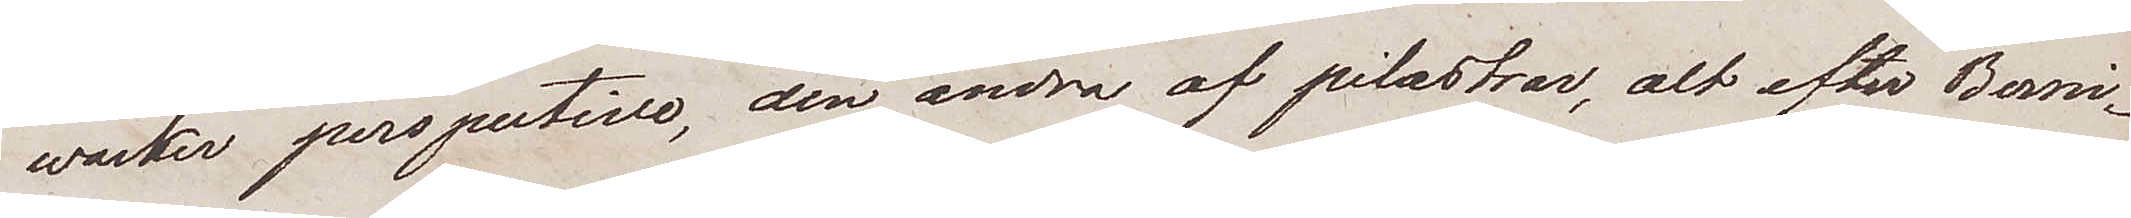wacker perspectivse, den andra af pilastrar, alt efter Berni¬
